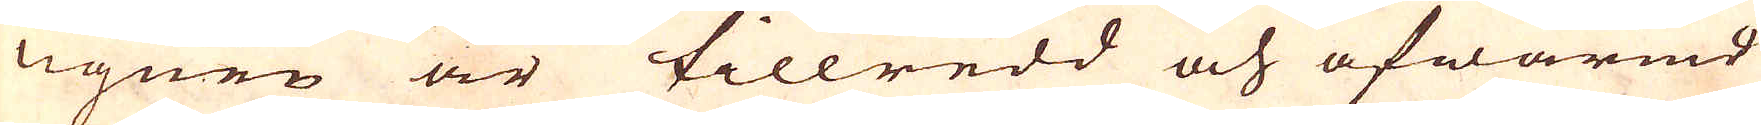Ugnen är tillredd och afwärmd
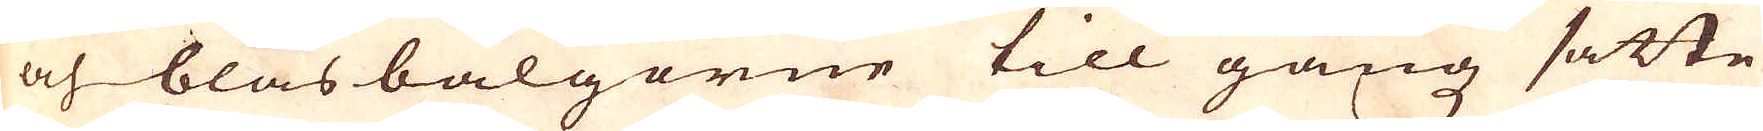och blåsbälgorne till gångz satte
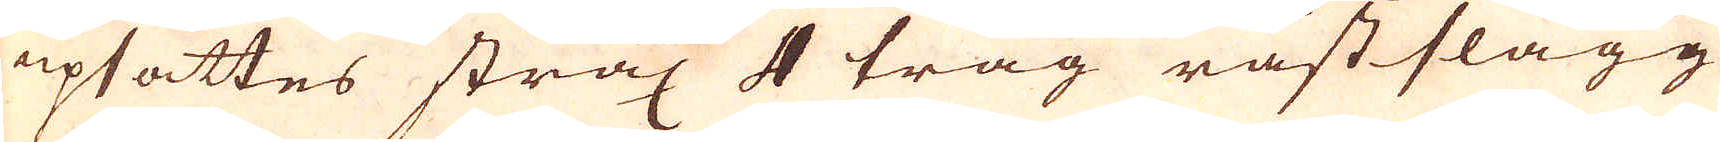upsättes strax 4 tråg råstslagg
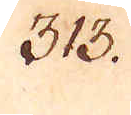313.
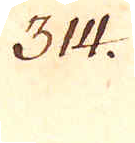314.
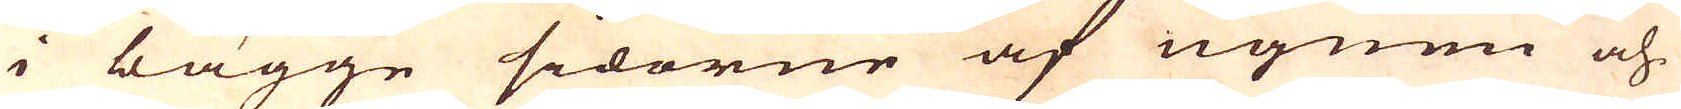i bägge sidorne af ugnen och
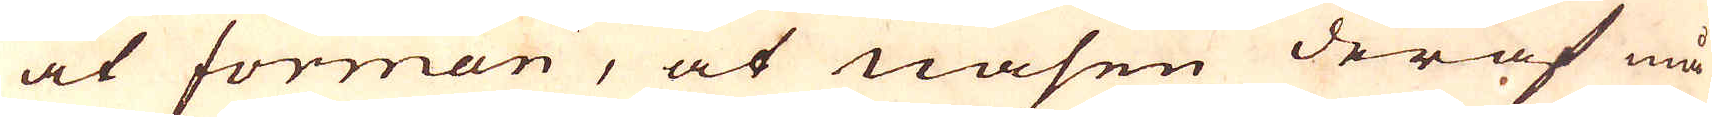at forman, at nasen deraf må
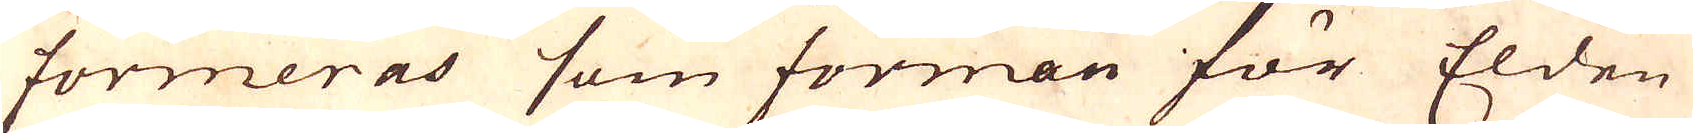formeras som forman för Elden
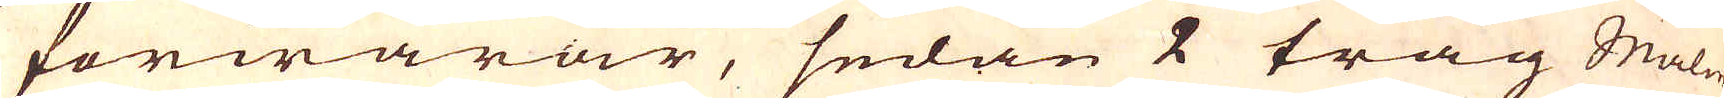forwarar, sedan 2 tråg Malm
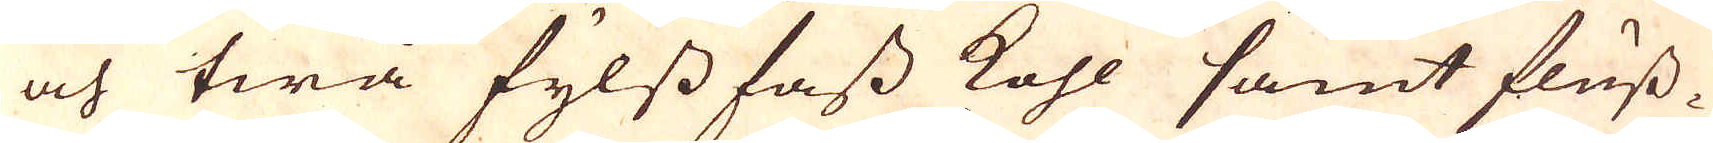och twå fylssfass kohl samt fluss-
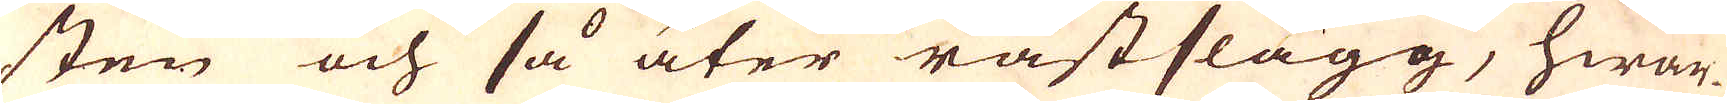sten och så åter råstslagg, hwar-
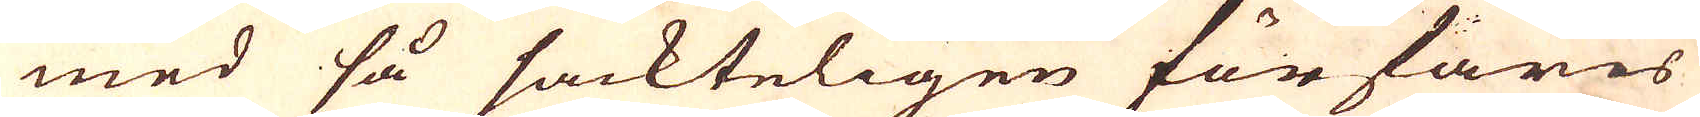med så sackteligen förfares
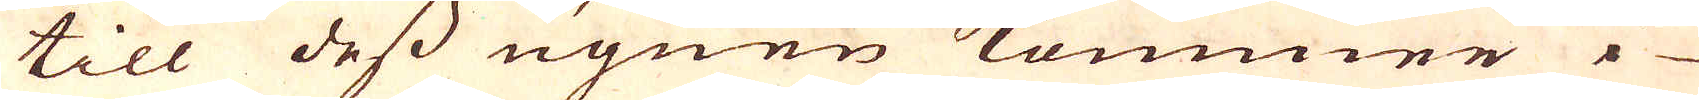till dess ugnen kommer i
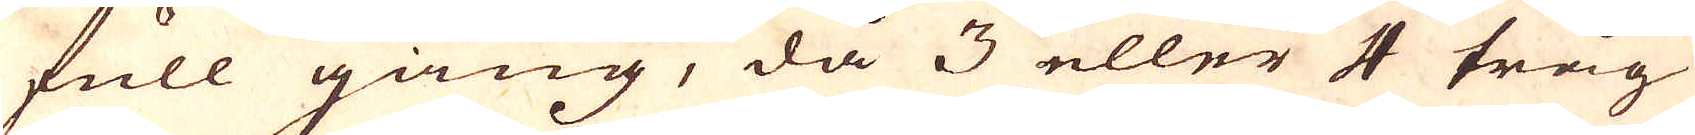full gång, då 3 eller 4 tråg
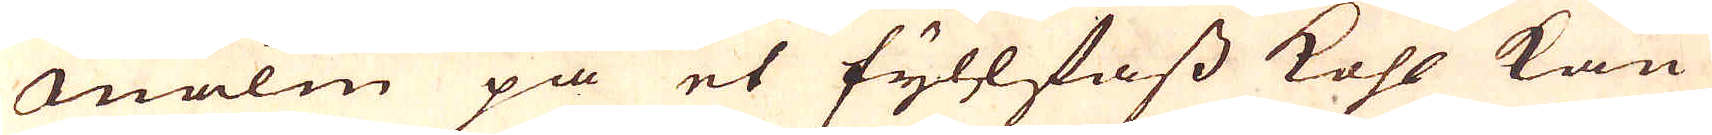Malm på et fyllfass kohl kan
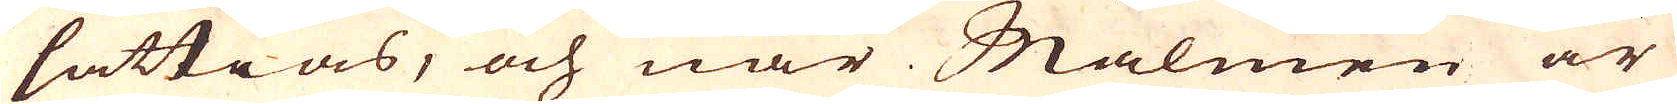sättias, och när Malmen är
